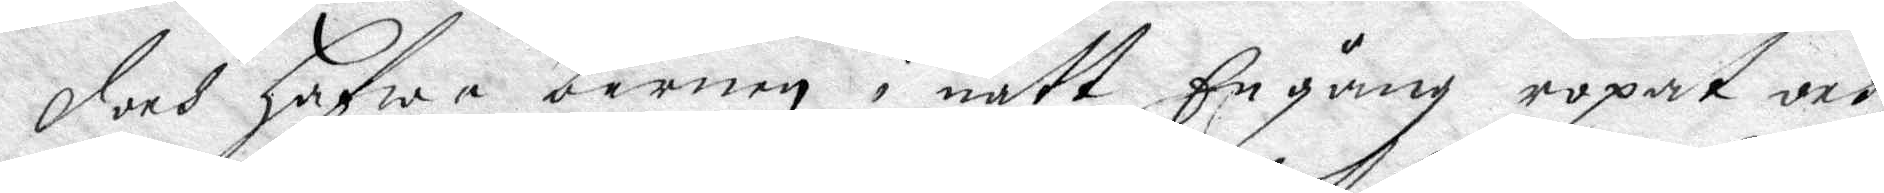doch hafwa barnen i natt En gång ropat och
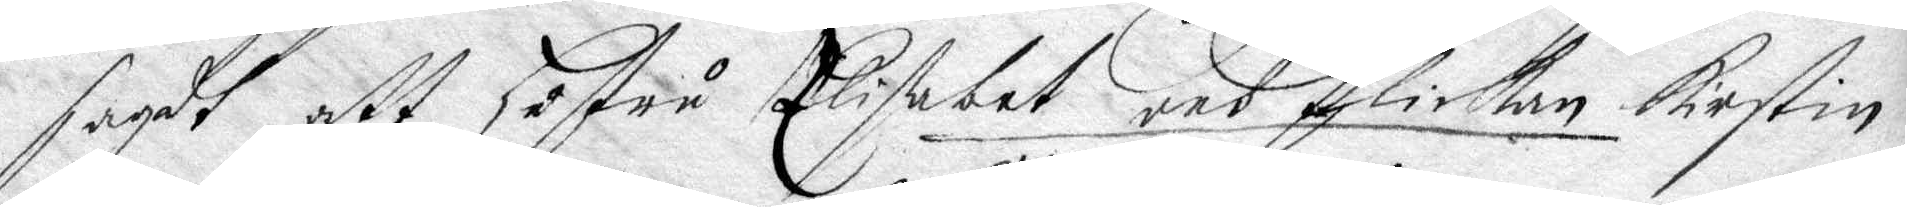sagdt att hustru Elisabet och flickan Kirstin
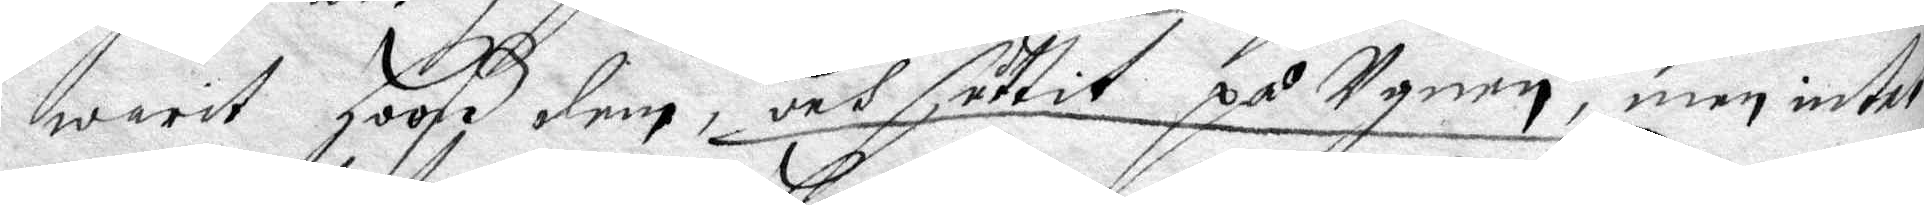warit hoos dem, och suttit på Ugnen, men intet
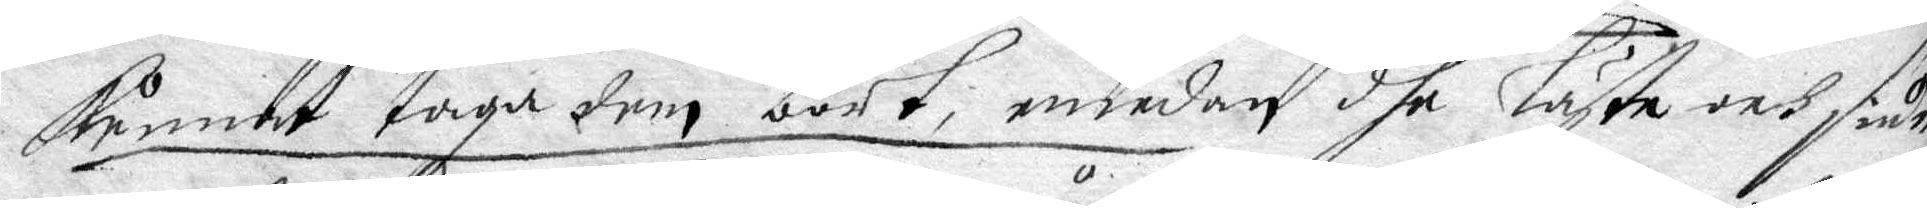kunnat taga dem bort, emedan dhe läste och siun¬
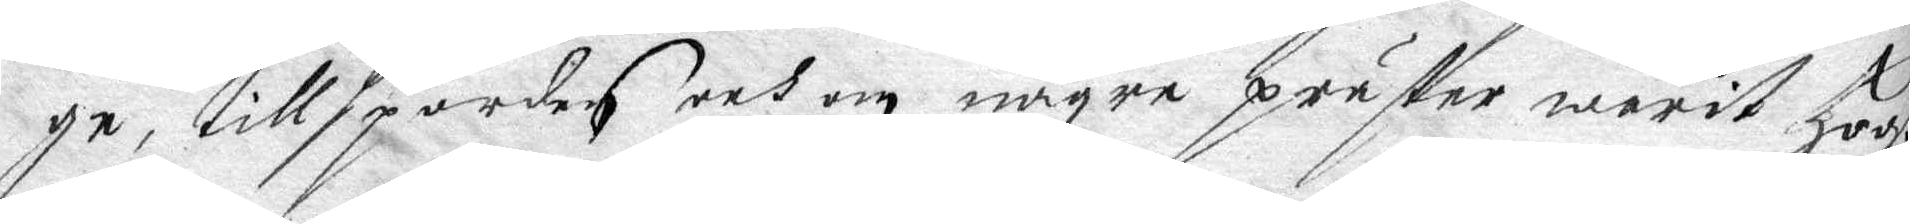ge, tillspordes och om någre präster warit hoos
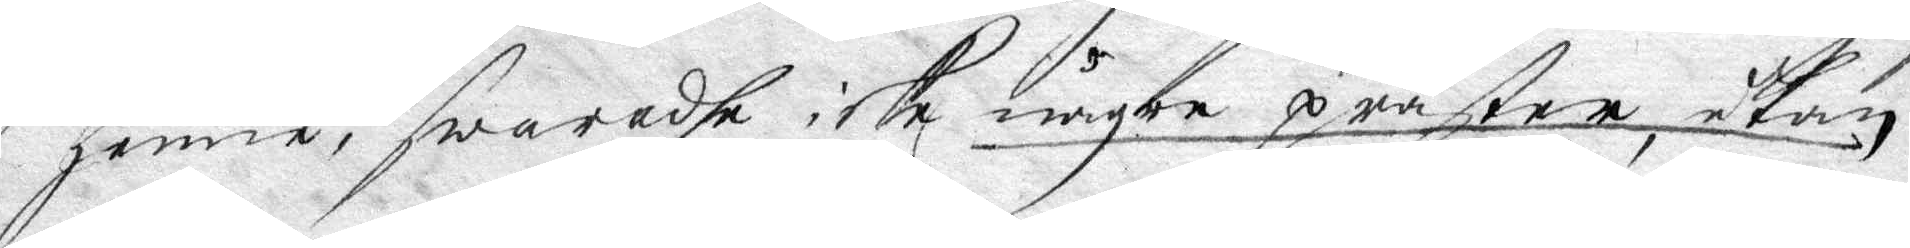henne, swaradhe icke någre präster, utan
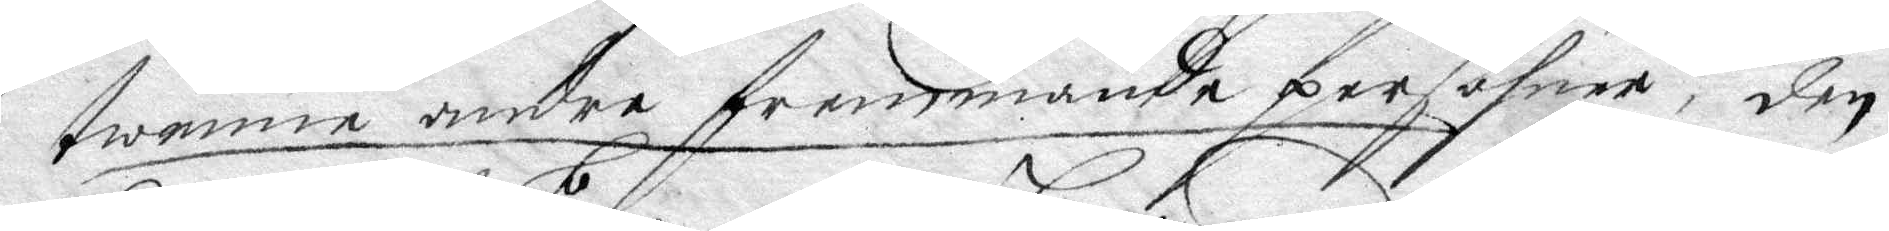twenne andre fremmande persohner, den
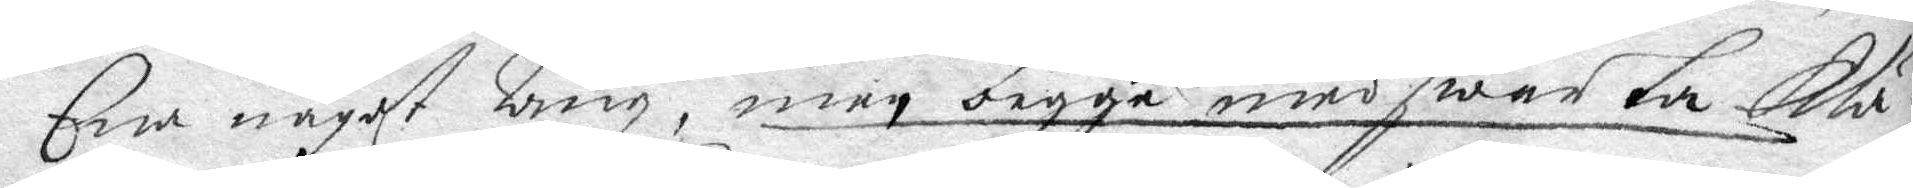Ena något lång, men begge med swarta klä¬
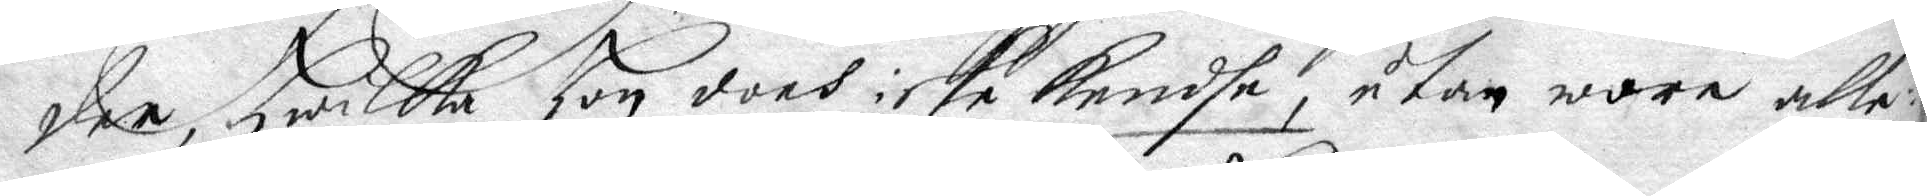der, hwilka hon doch icke kendhe, utan wore alle¬
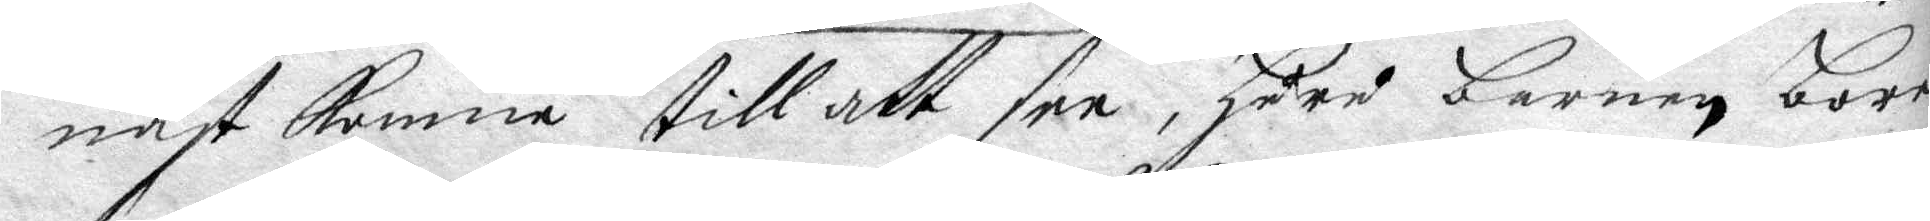nast komna till att see, huru barnen bare
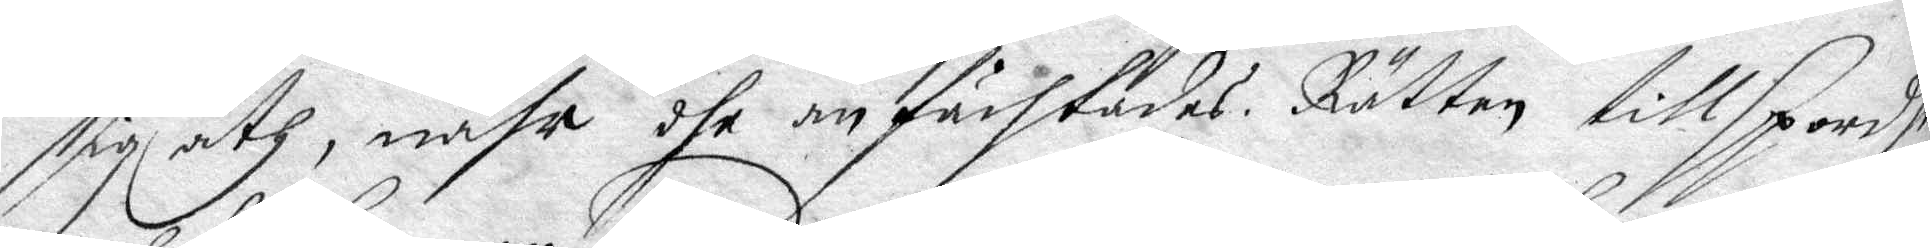sig åth, nähr dhe anfächtades. Rätten tillsporde
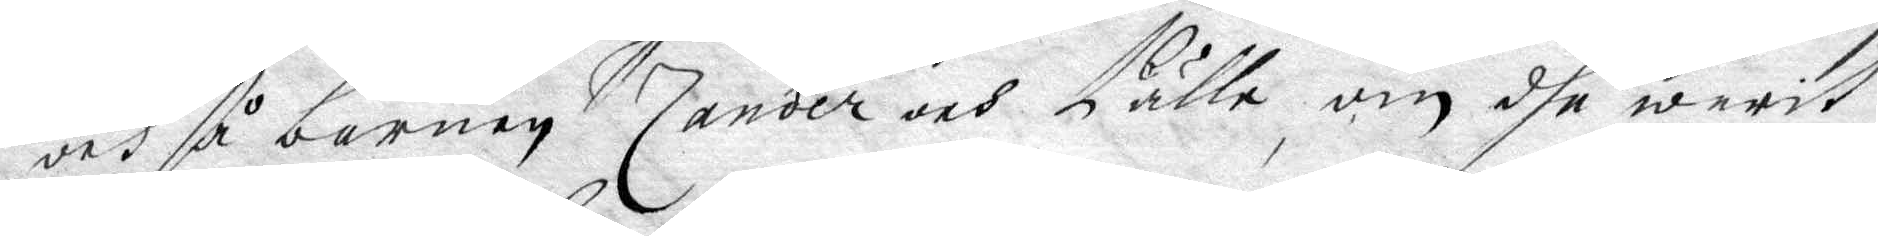och så barnen Zander och Pälle om dhe warit
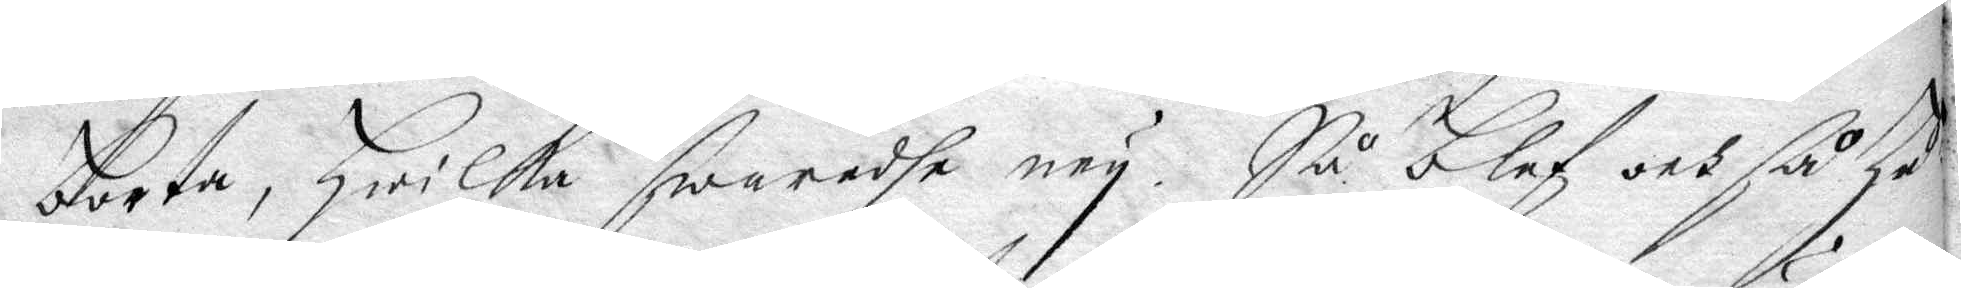borta, hwilka swaradhe ney. Så blef och så hu¬
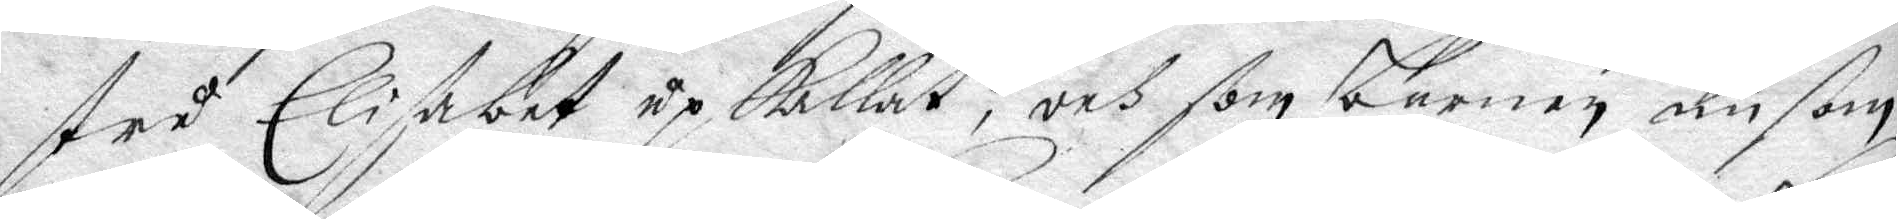stru Elisabet upkallat, och som barnen nu som
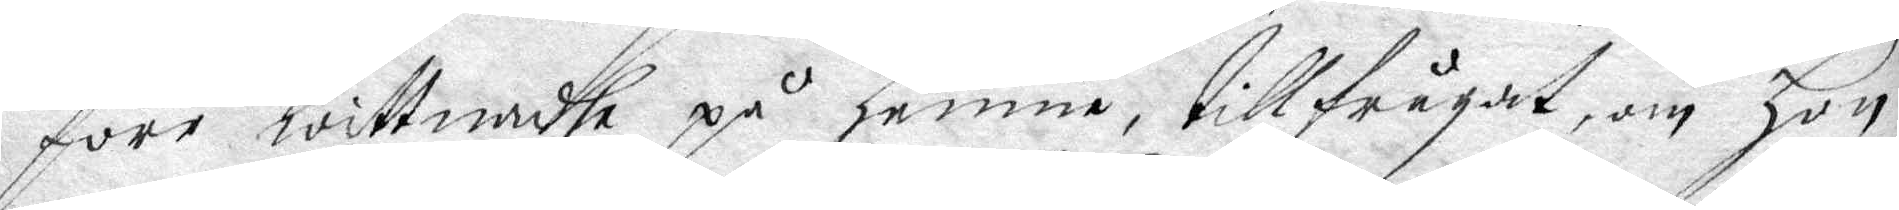före wittnadhe på henne, tillfrågat om hon
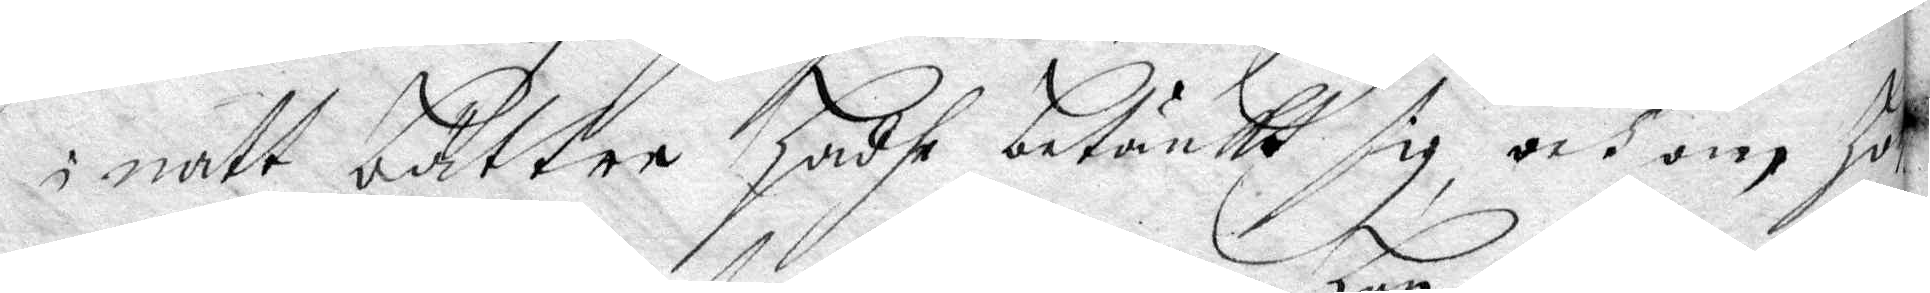i natt bättre hadhe betänkt sig, och om hon
